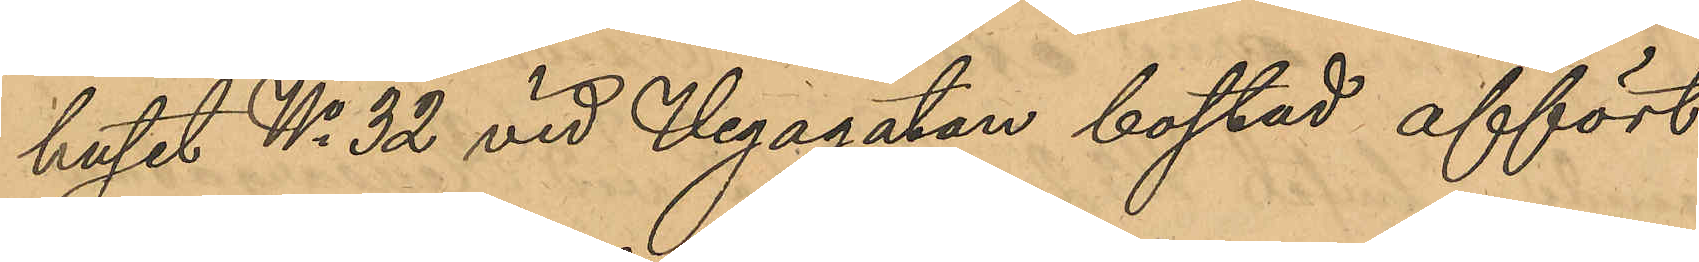huset No 32 vid Vegagatan bostad affört
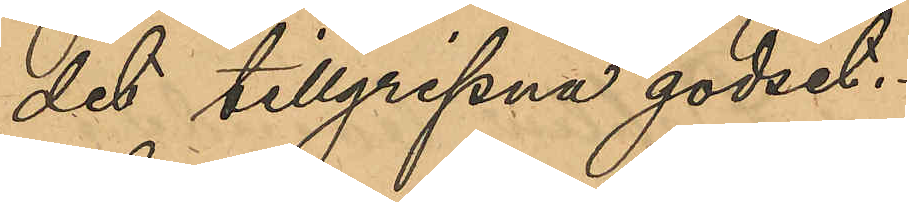det tillgripna godset.
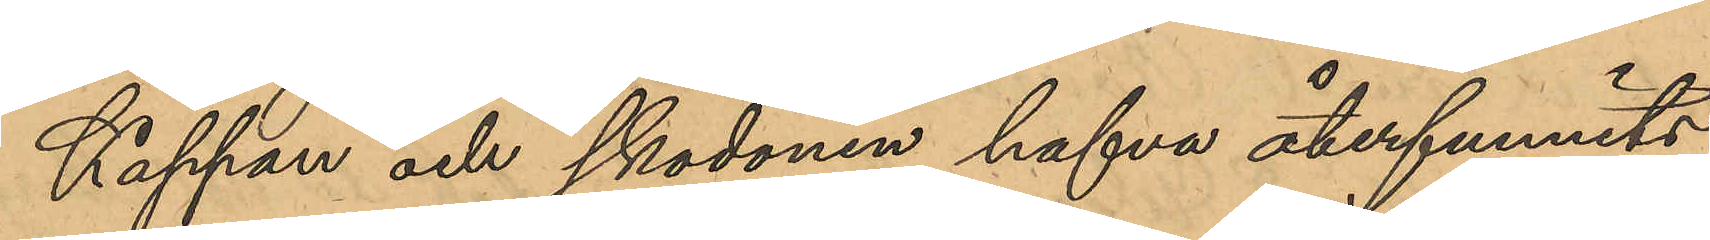Kappan och skodonen hafva återfunnits
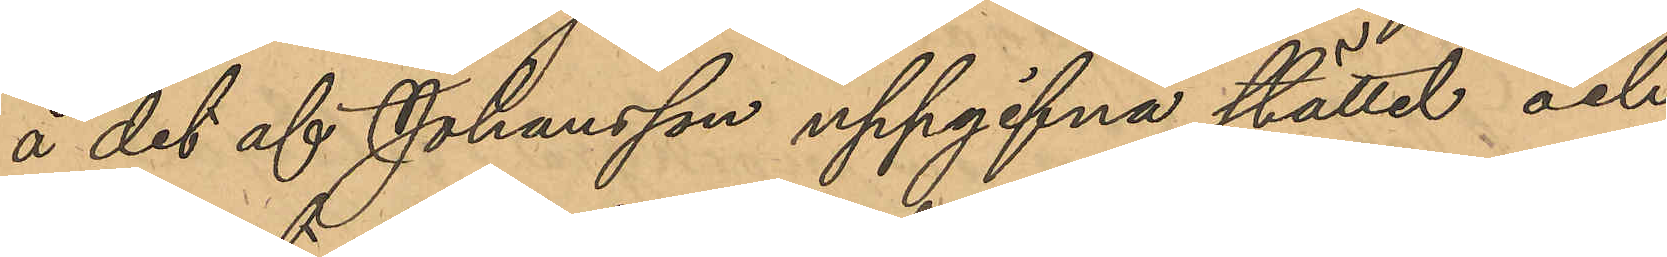å det af Johansson uppgifna stället och
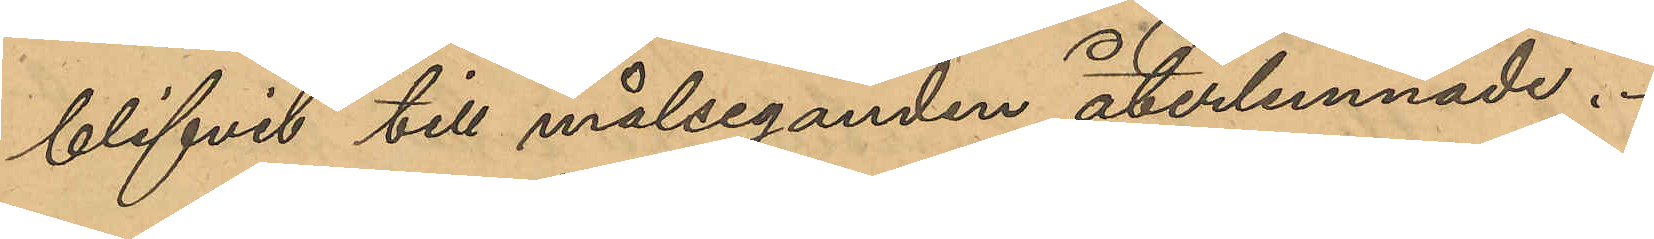blifvit till målseganden återlemnade.
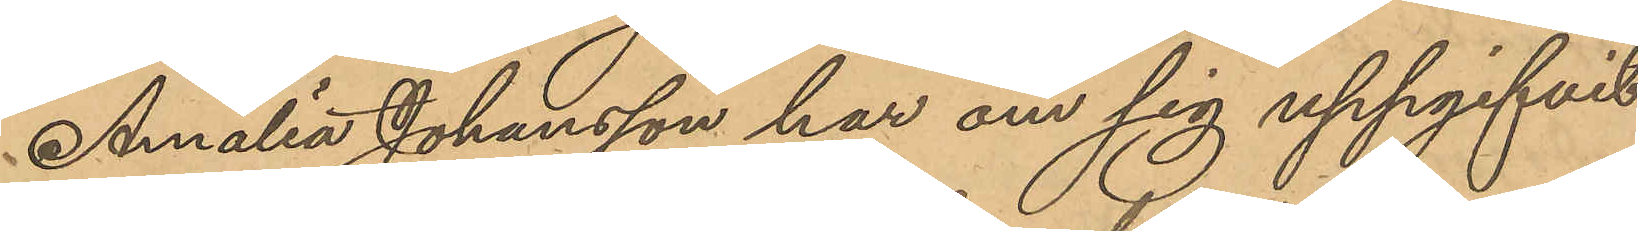Amalia Johansson har om sig uppgifvit
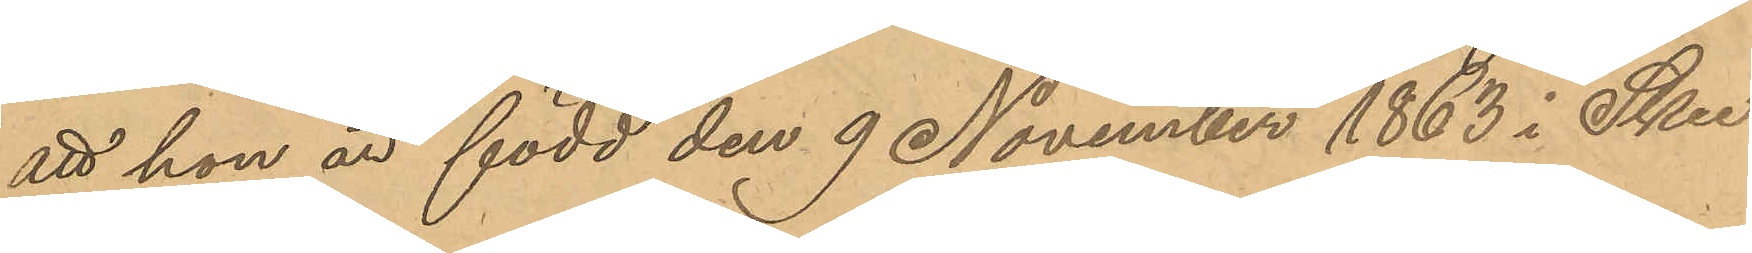att hon är född den 9 November 1863 i Skee
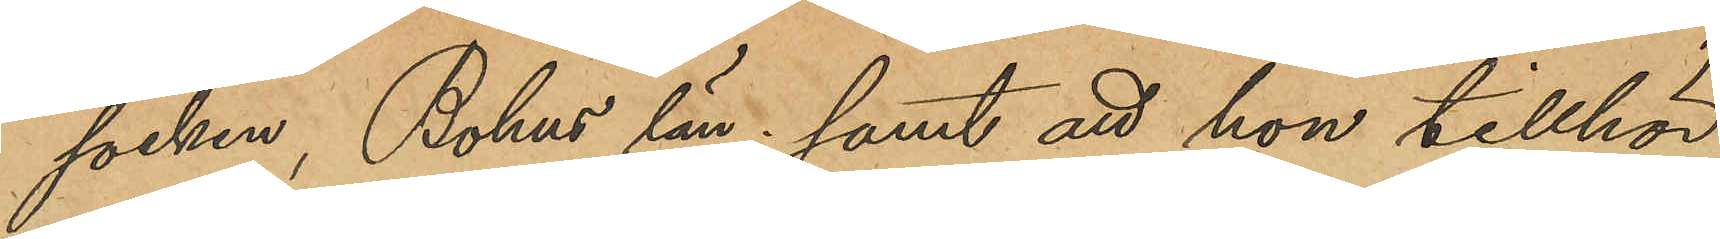socken, Bohus län; samt att hon tillhör
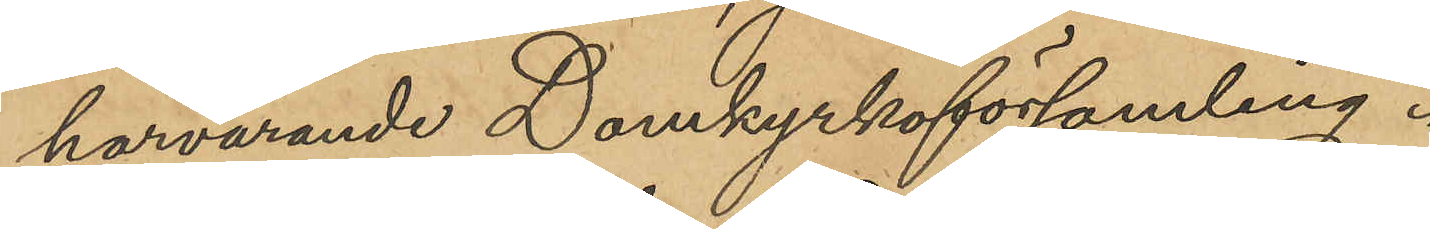härvarande Domkyrkoförsamling.
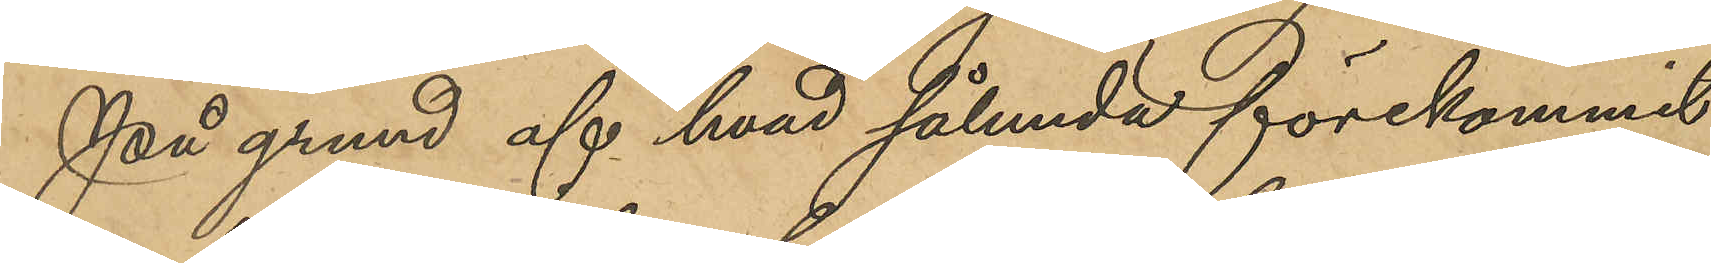På grund af hvad sålunda förekommit
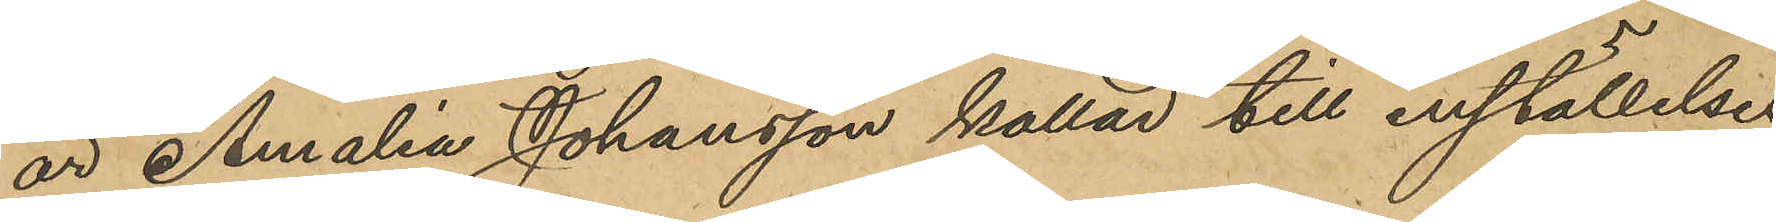är Amalia Johansson kallad till inställelse
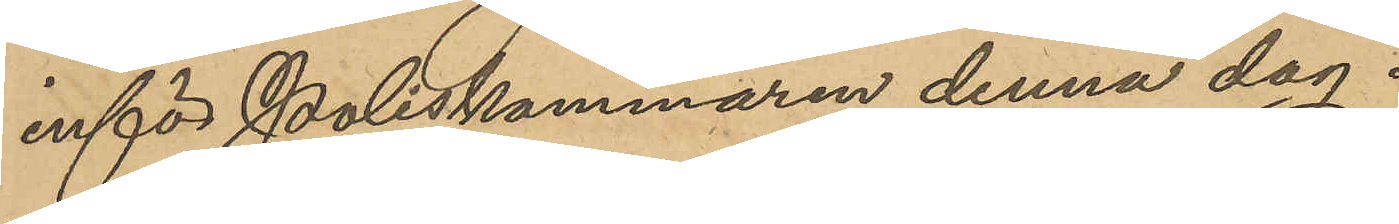inför poliskammaren denna dag.
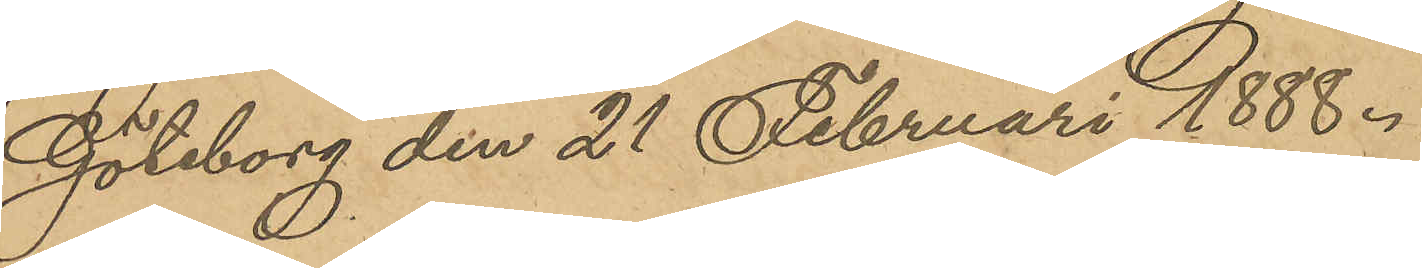Göteborg den 21 Februari 1888.
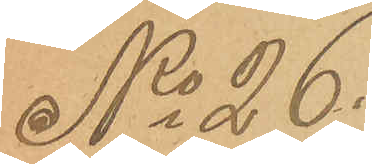No 26
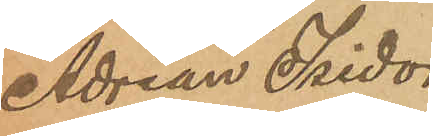Adrian Isidor
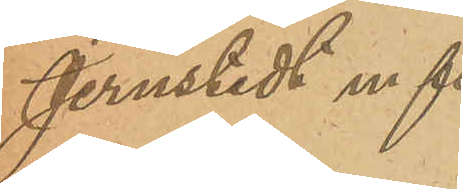Jernstedt m fl.
